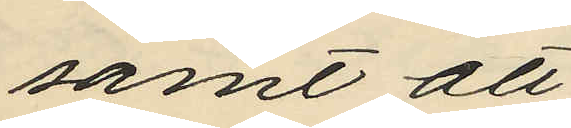samt att
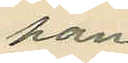han
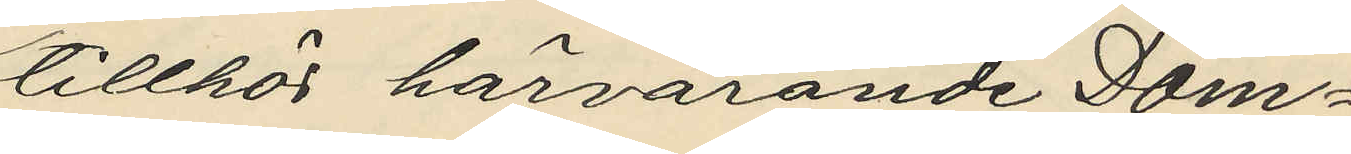tillhör härvarande Dom¬
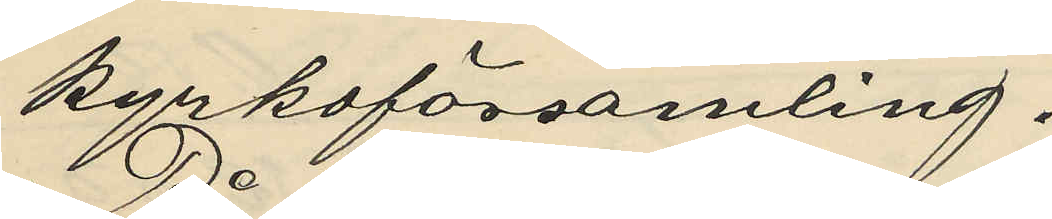kyrkoförsamling.
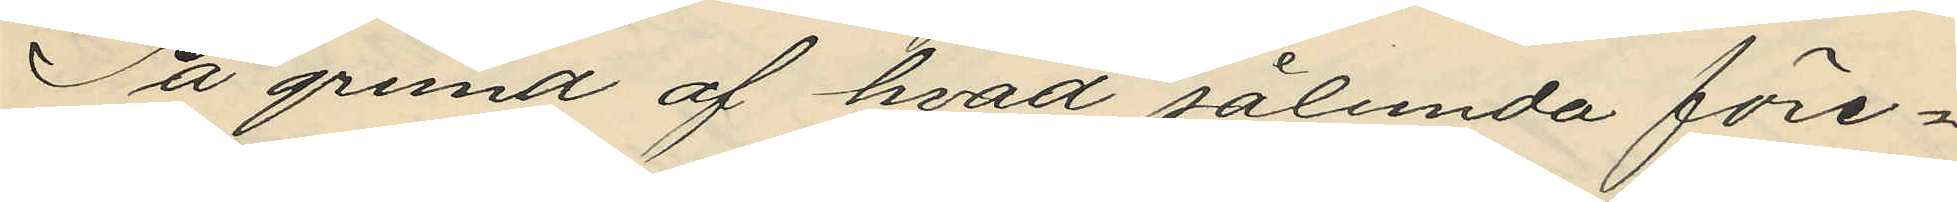På grund af hvad sålunda före¬
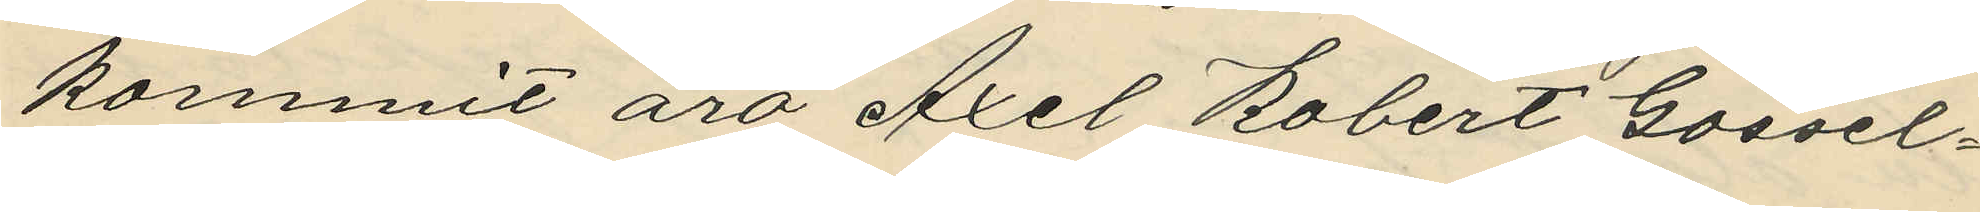kommit äro Axel Robert Gossel¬
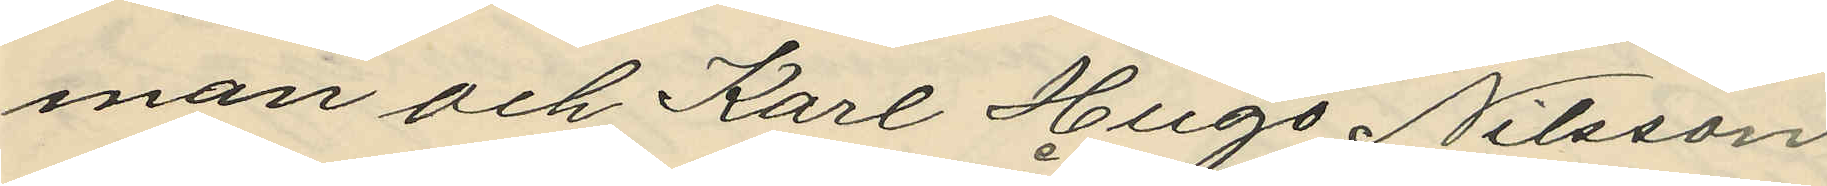man och Karl Hugo Nilsson
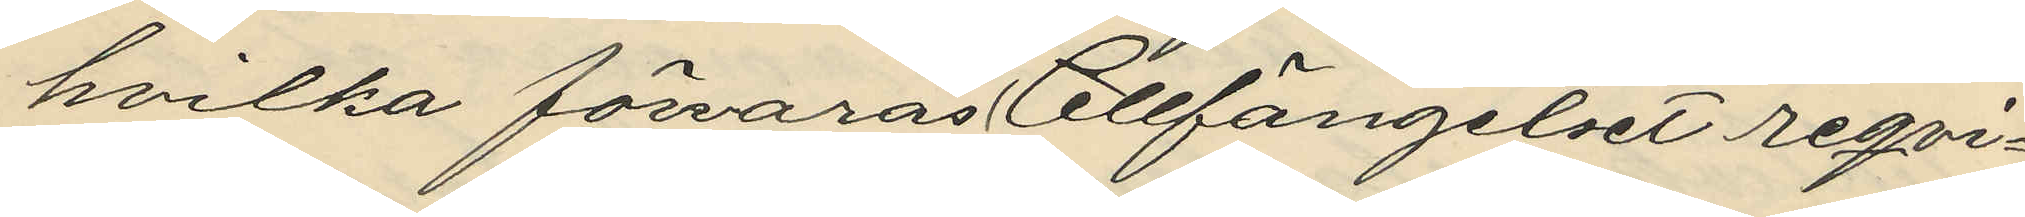hvilka förvaras å Cellfängelset reqvi¬
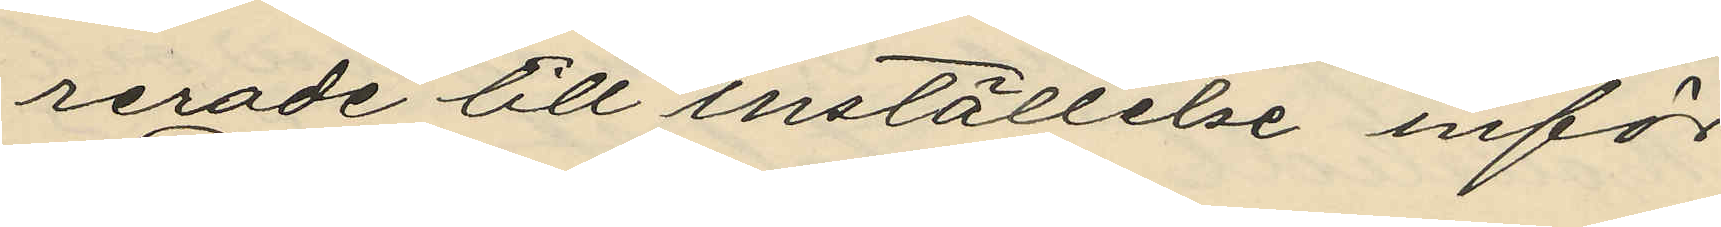rerade till inställelse inför
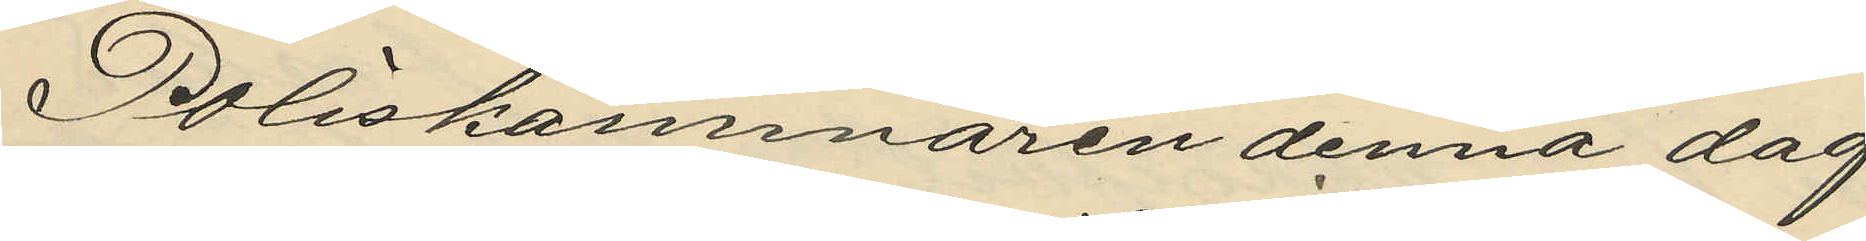Poliskammaren denna dag
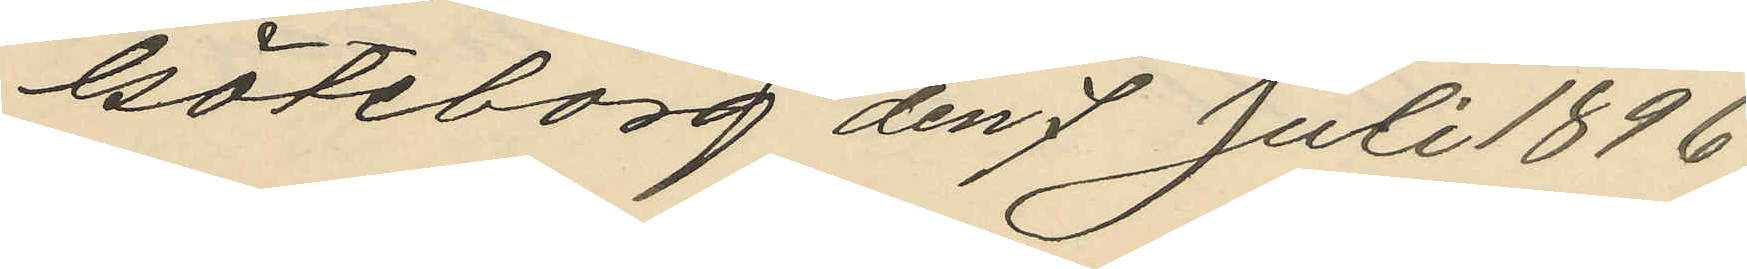Göteborg den 7 Juli 1896
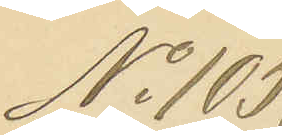No 105,
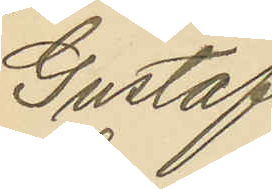Gustaf
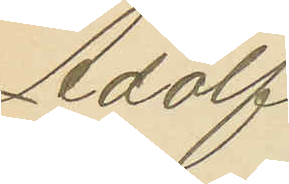Adolf
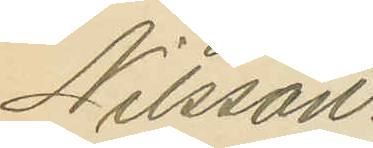Nilsson.
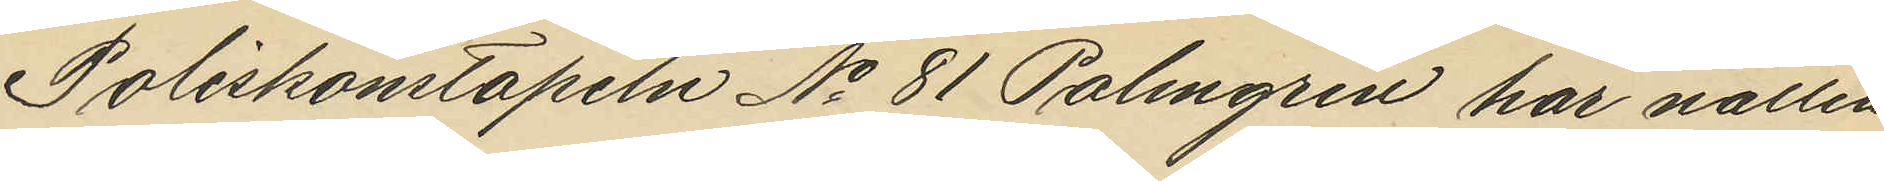Poliskonstapeln No 81 Palmgren har natten
